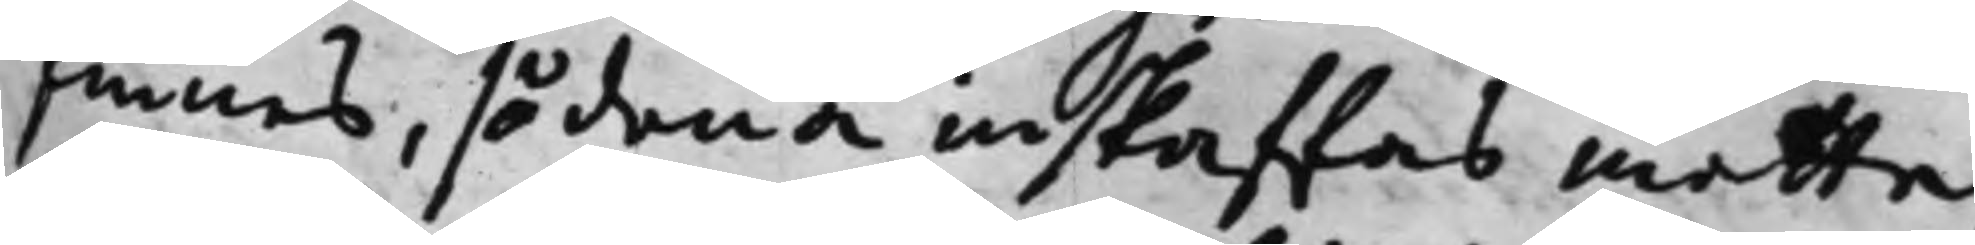finnes, sådana inskaffas måtte,
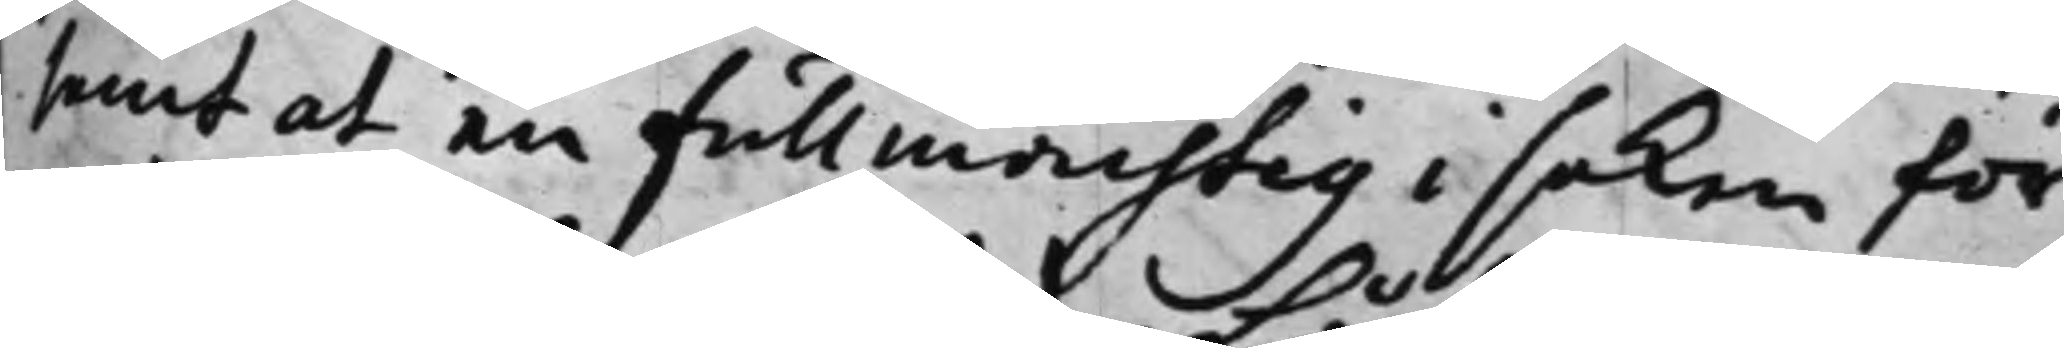samt at en Fullmächtig i saken för¬
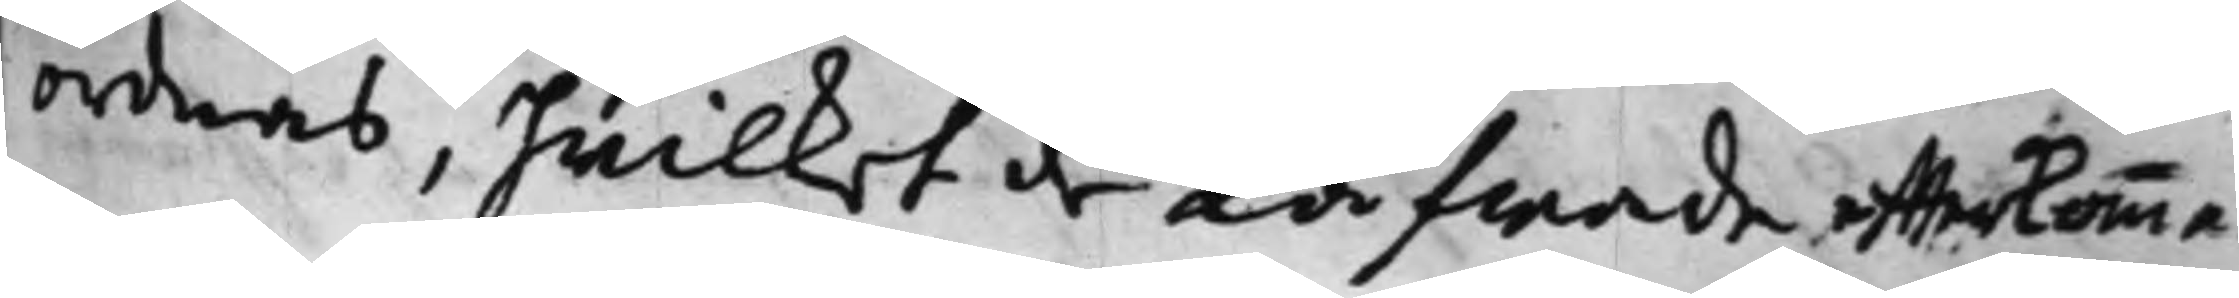ordnas, hwilket de Låfwade effterkomma.
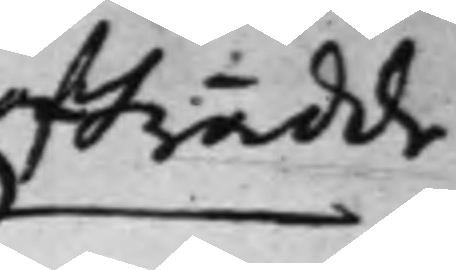afträdde
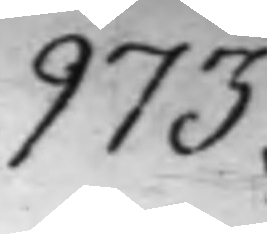973.
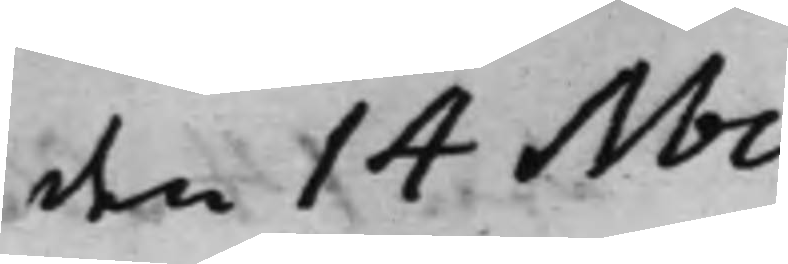den 14 Nov.
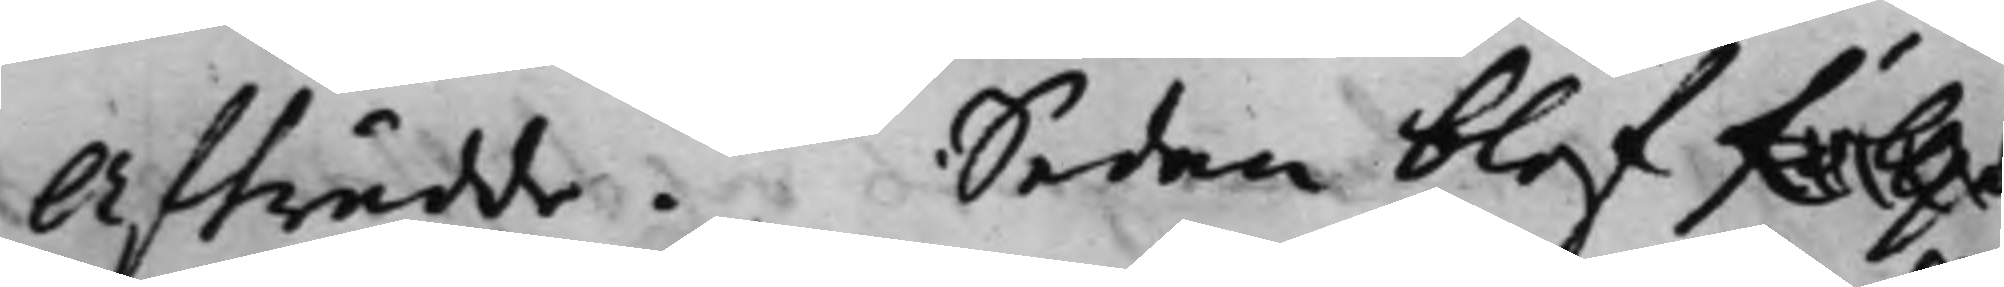Afträdde. Sedan blef föllja
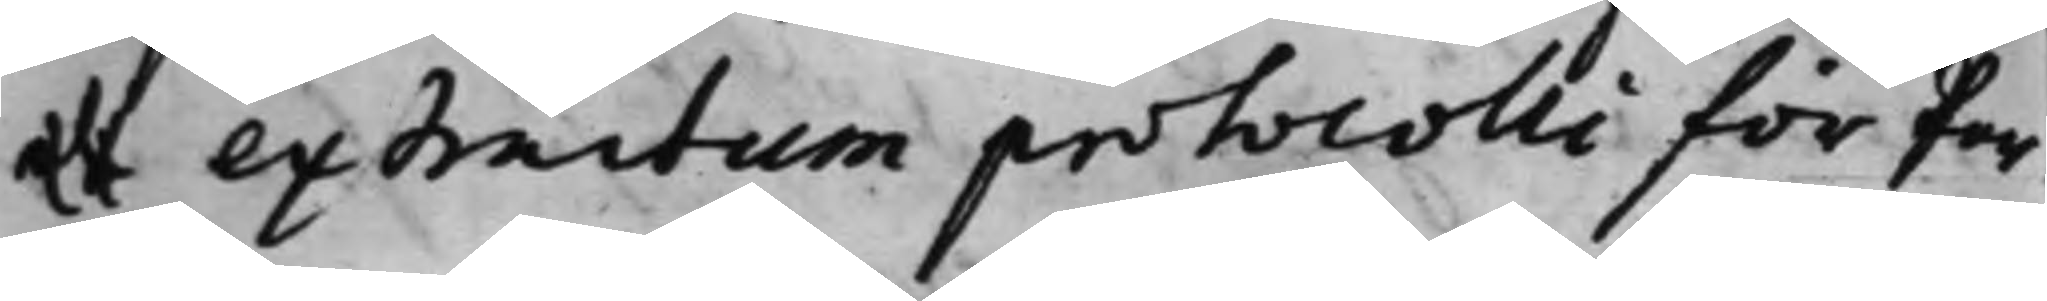et extractum protocolli för Par¬
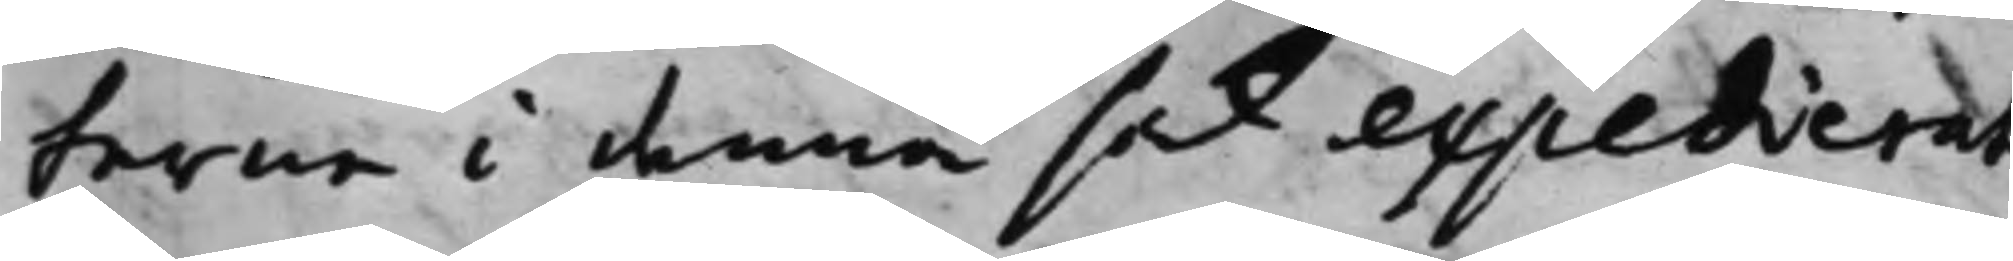terne i denna sak expedierat,
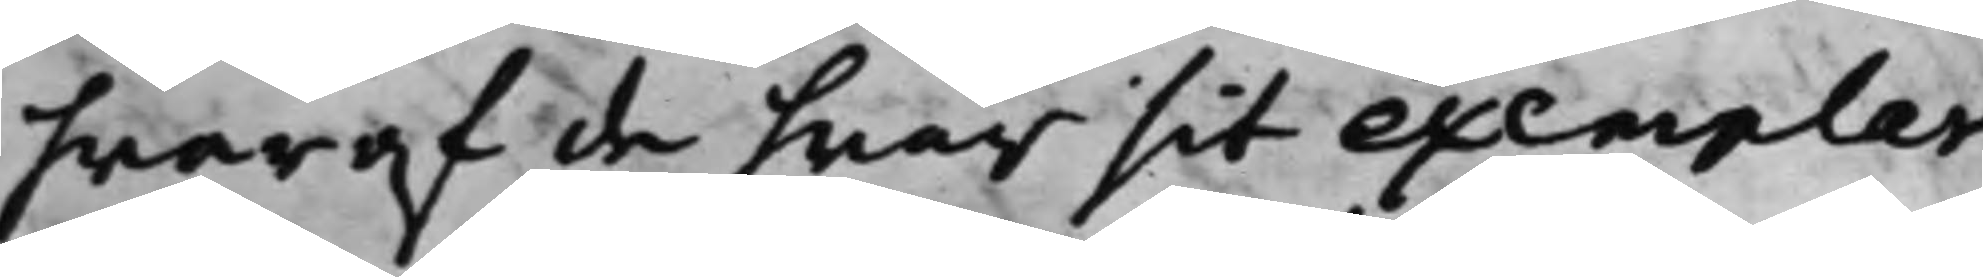hwaraf de hwar sit exemplar
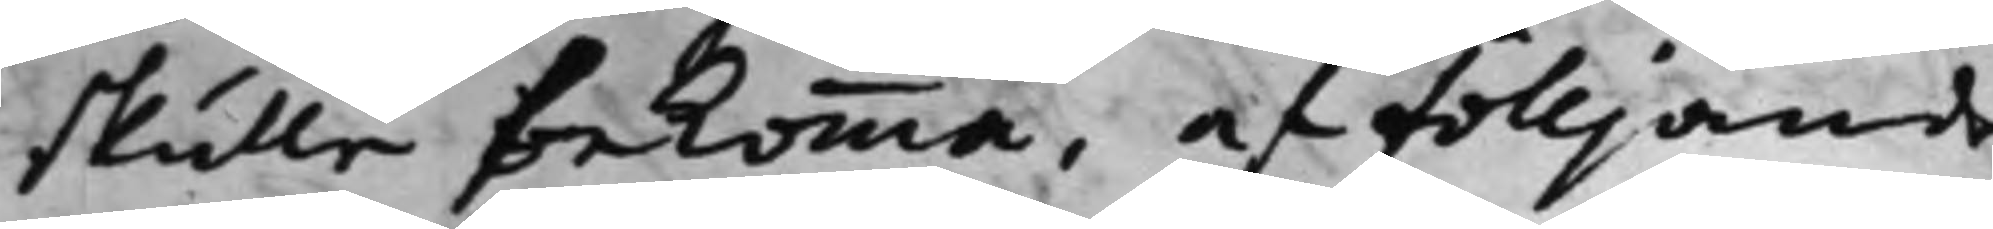skulle bekomma, af fölljande
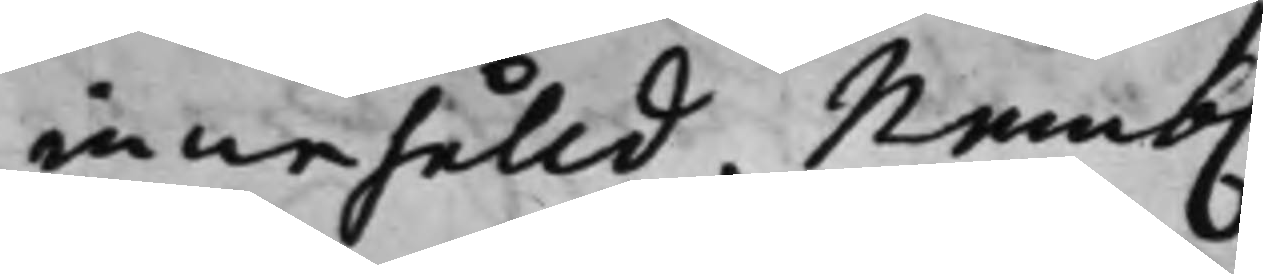innehålld, Nemb.
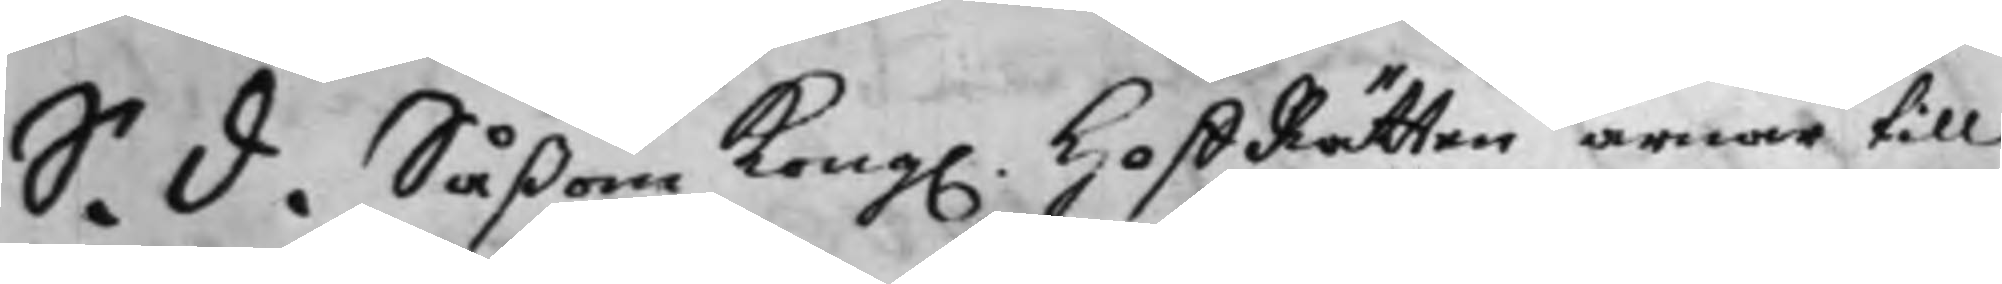S. d. Såßom Kong. HoffRätten ärnar till
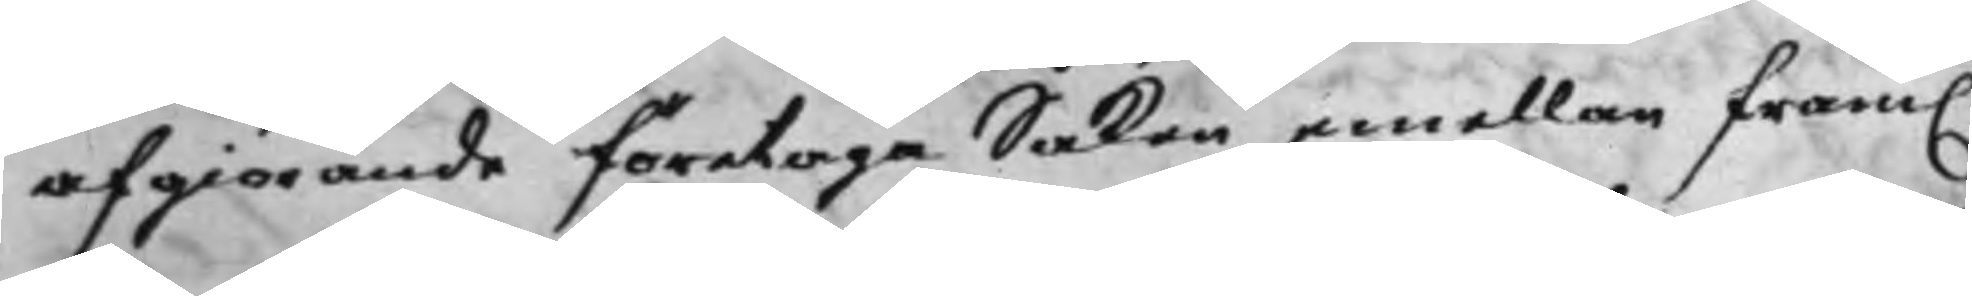afgiörande företaga Saken emellan fram.
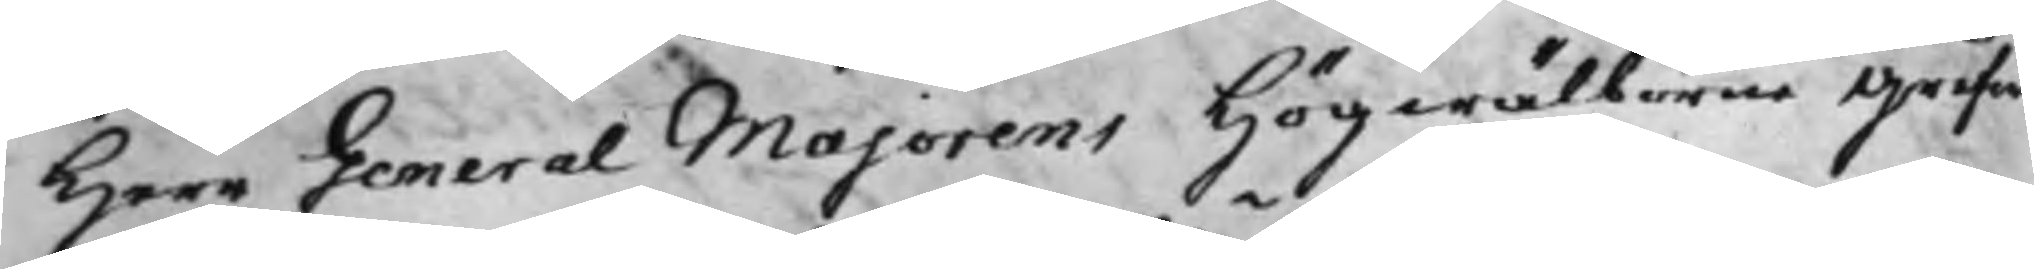Herr General Majorens Högwälborne Grefwe
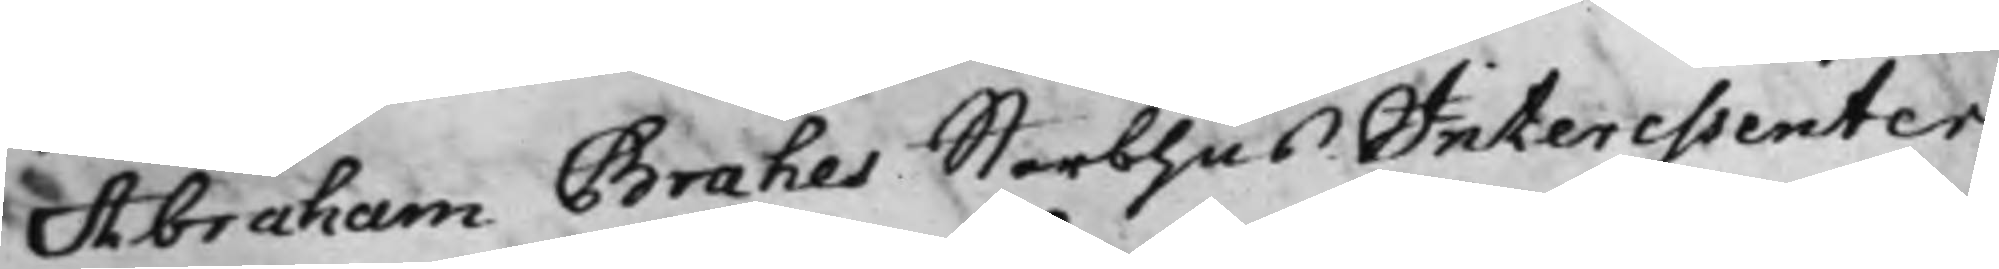Abraham Brahes Sterbhus Interessenter
